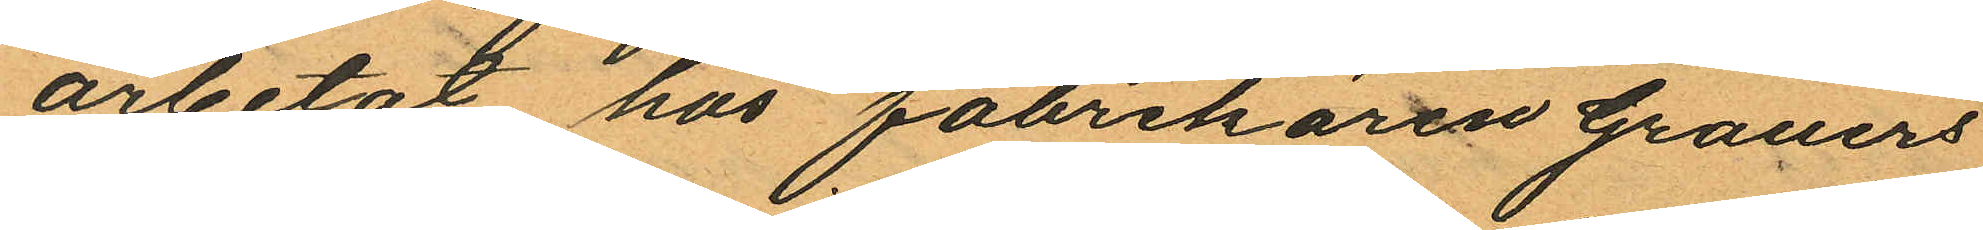arbetat hos fabrikören Grauers
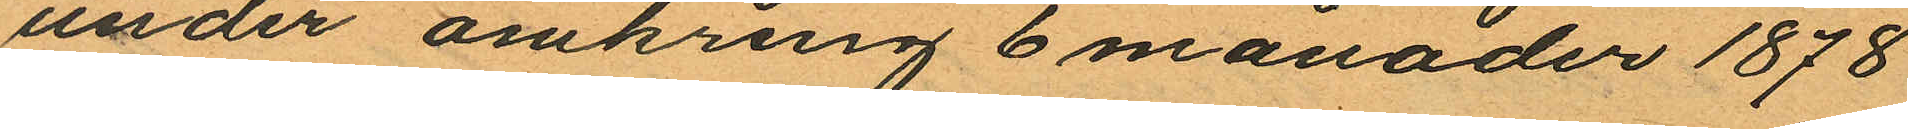under omkring 6 månader 1878
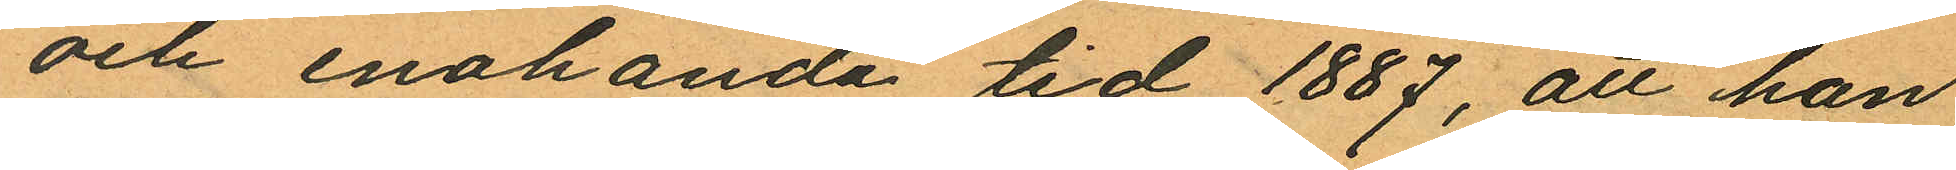och enahanda tid 1887, att han
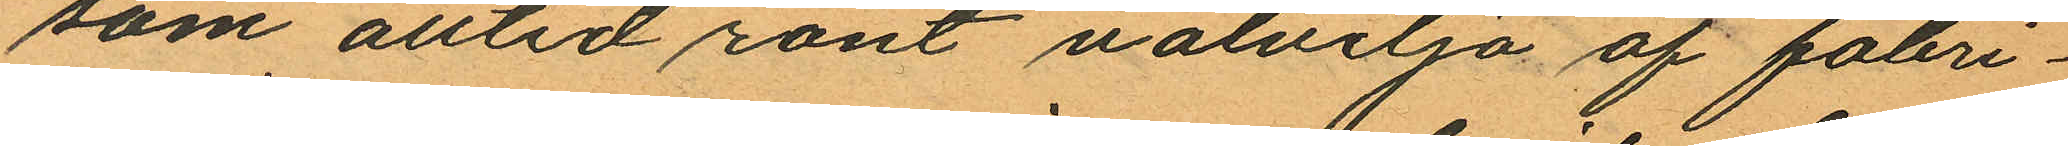som alltid rönt välvilja af fabri¬
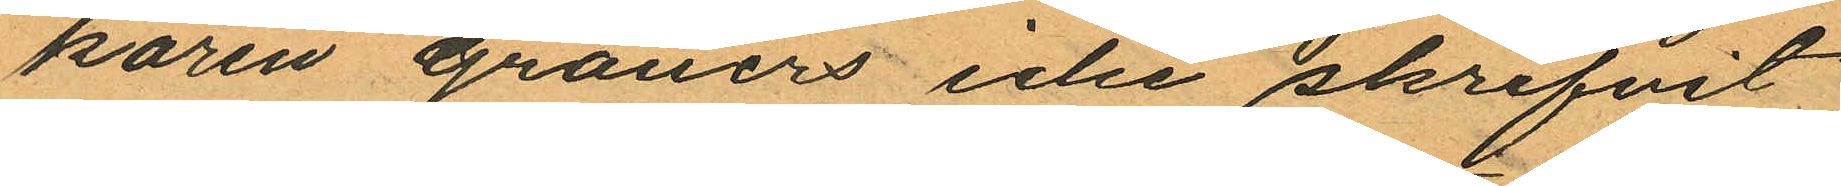kören Grauers icke skrifvit
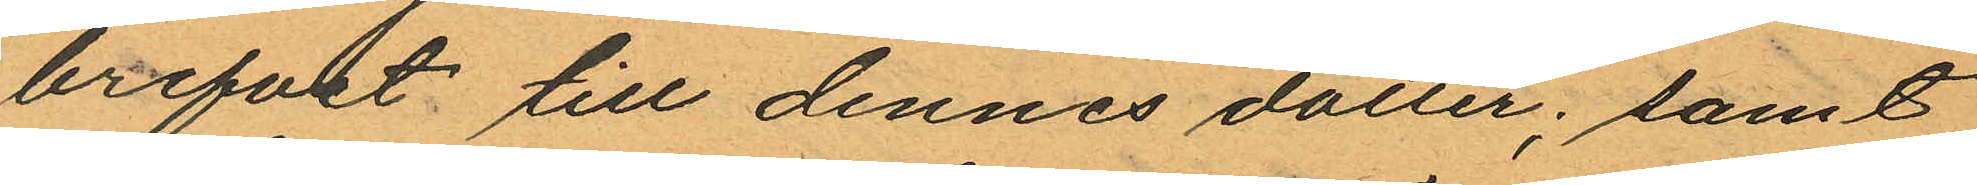brefvet till dennes dotter; samt
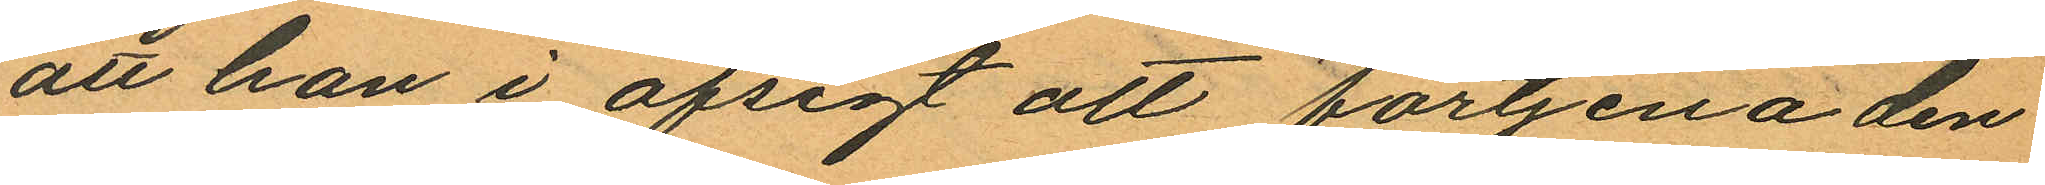att han i afsigt att förtjena den
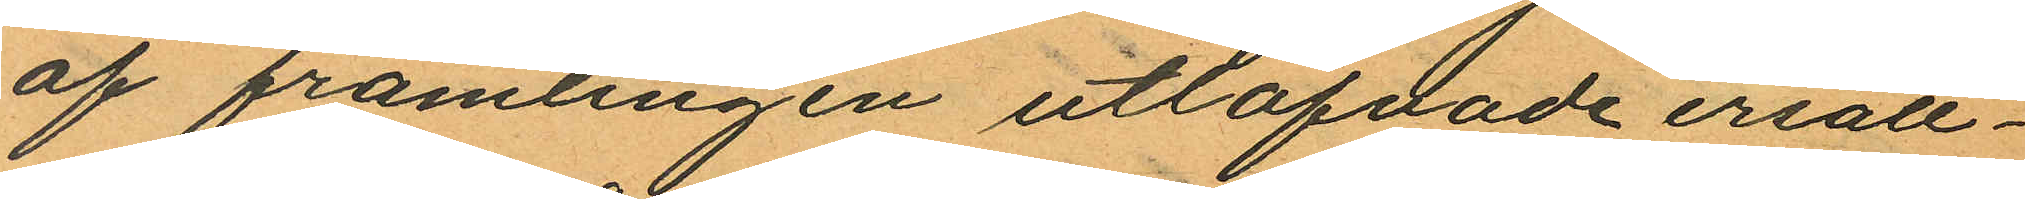af främlingen utlofvade ersätt¬
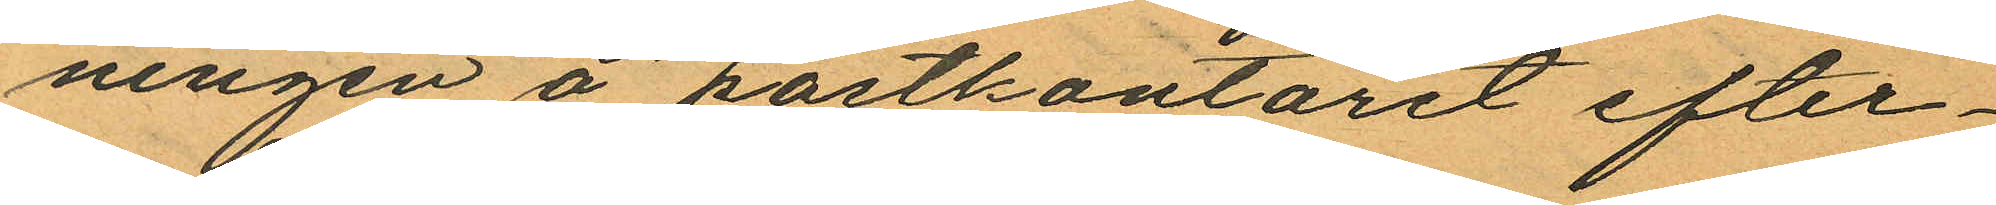ningen å postkontoret efter¬
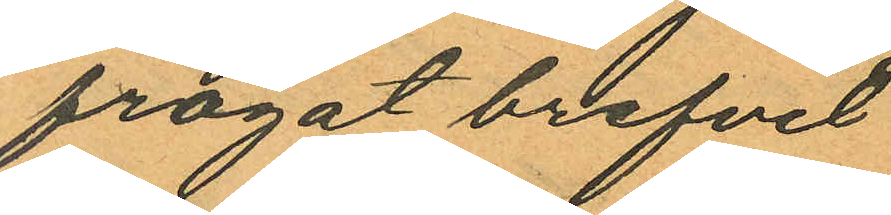frågat brefvet
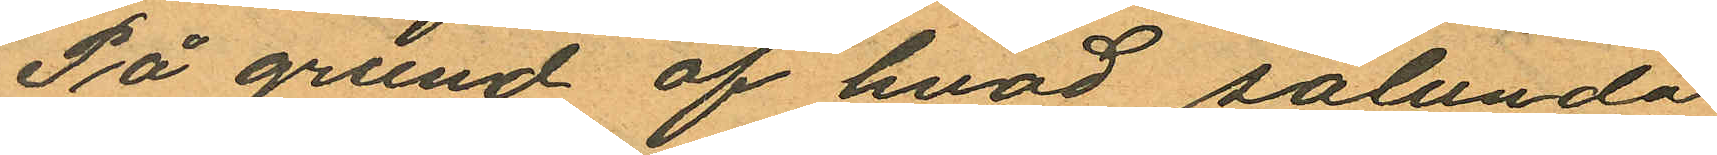På grund af hvad sålunda
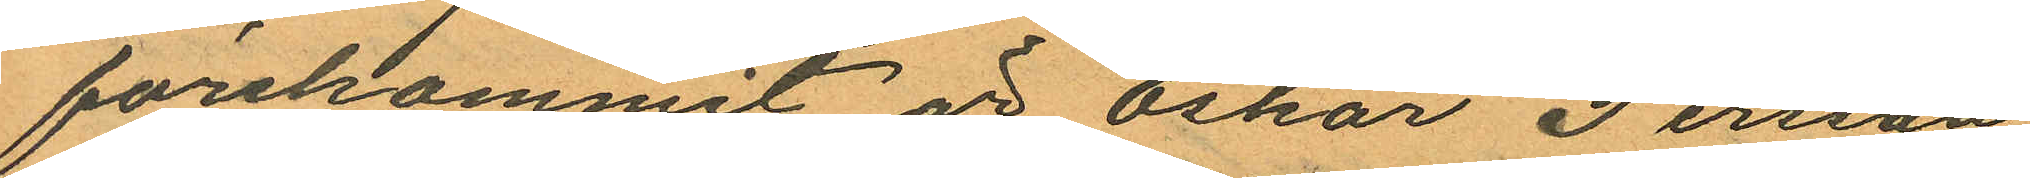förekommit är Oskar Persson
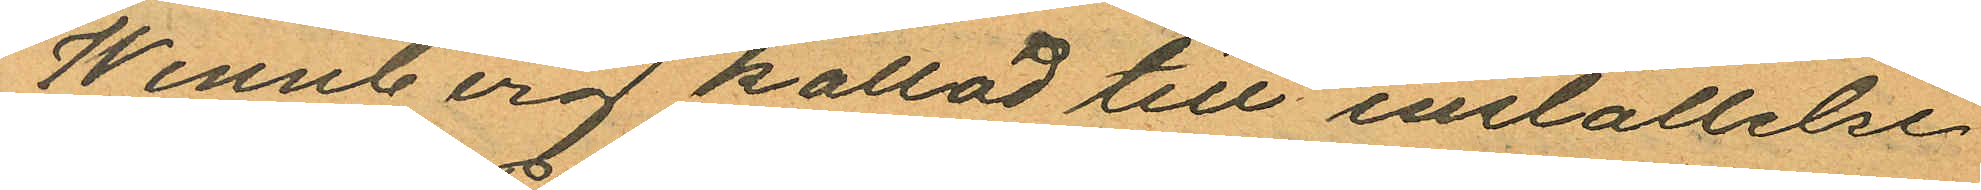Wennberg kallad till inställelse
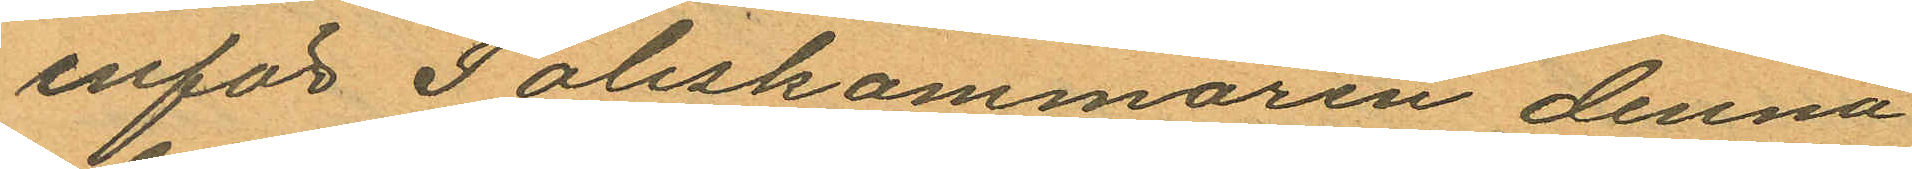inför Poliskammaren denna
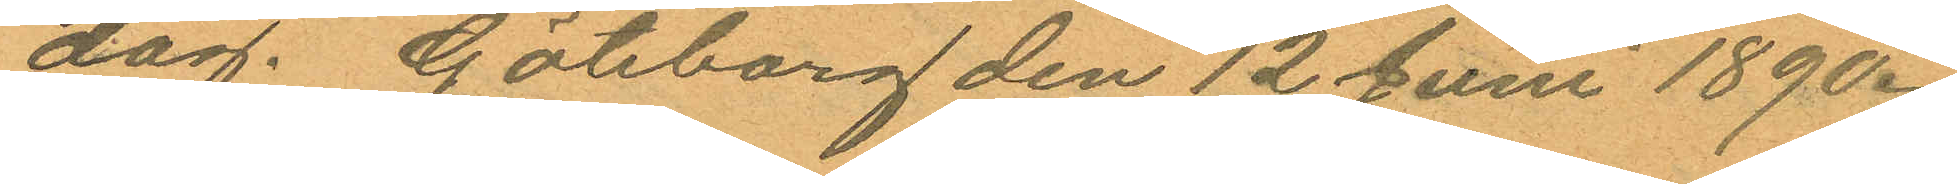dag. Göteborg den 12 Juni 1890.
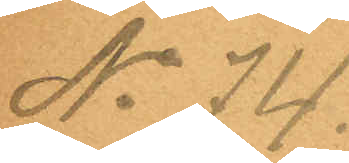No 74.
